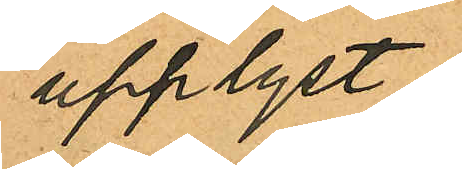upplyst:
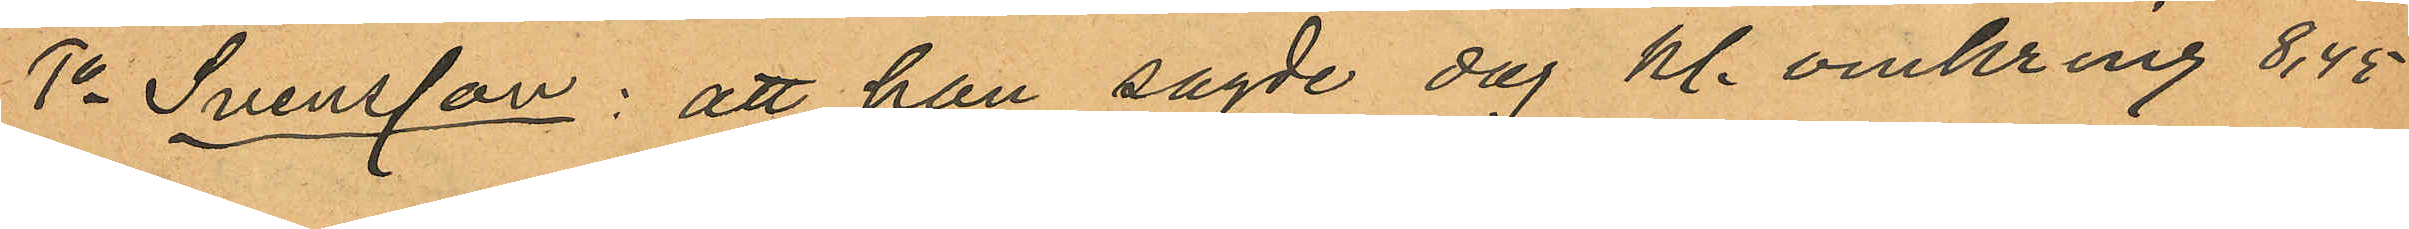1o Svensson: att han sagde dag kl. omkring 8,45
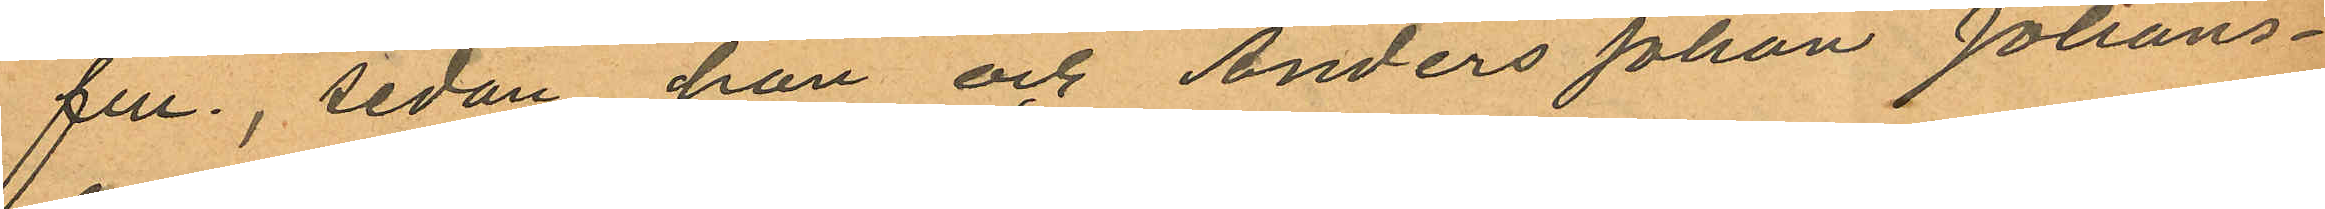fm., sedan han och Anders Johan Johans¬
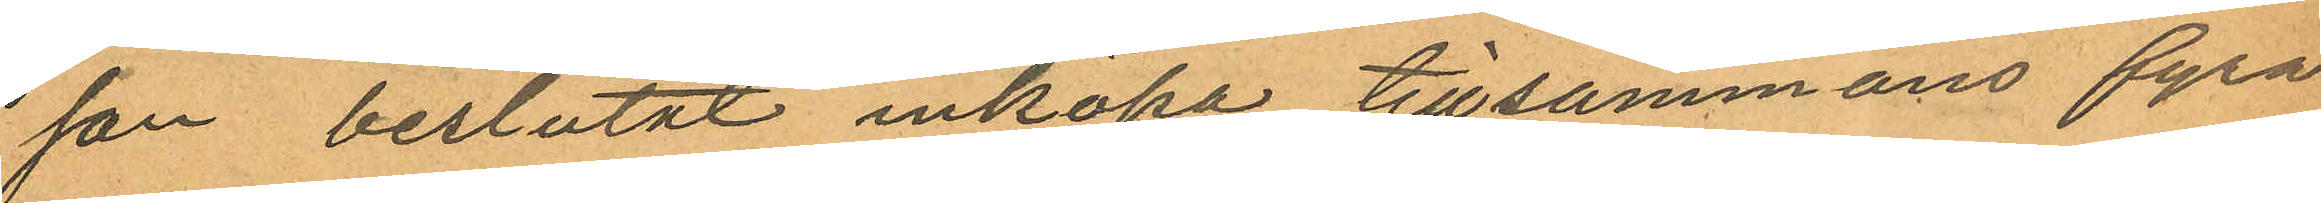son beslutat inköpa tillsammans fyra
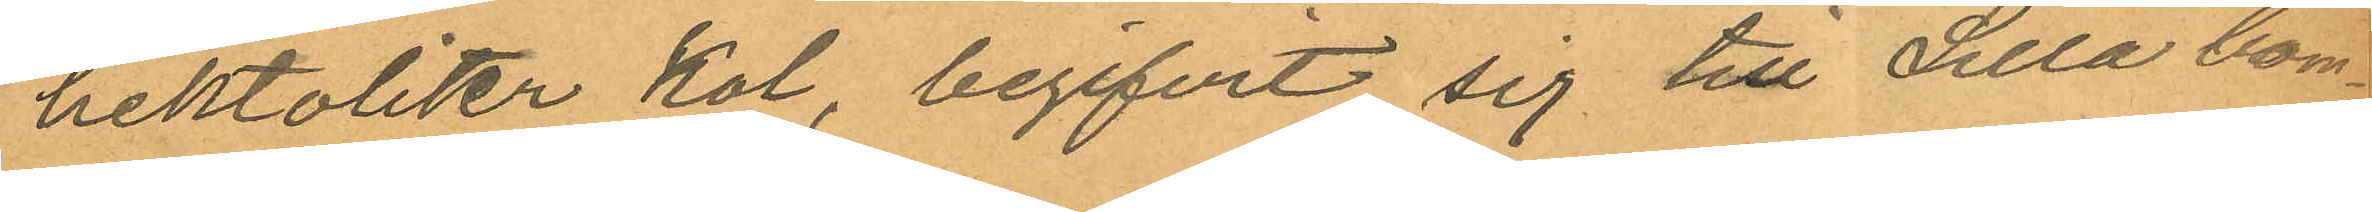hektoliter kol, begifvit sig till Lilla bom¬
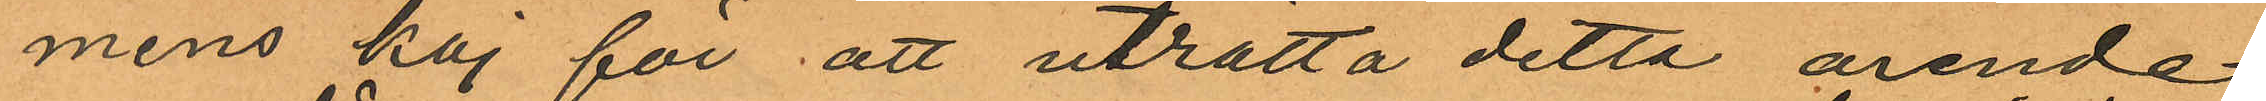mens kaj för att uträtta detta ärende
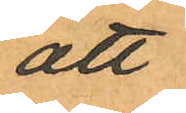att
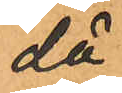då
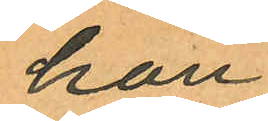han
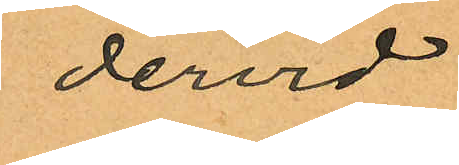dervid
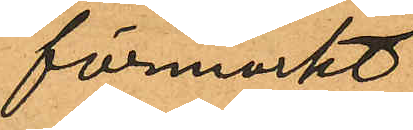förmärkt
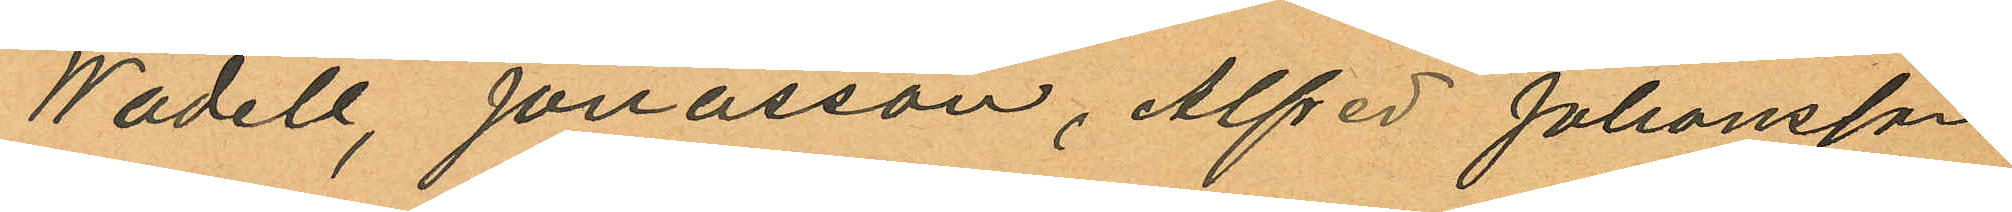Wadell, Jonasson, Alfred Johansson
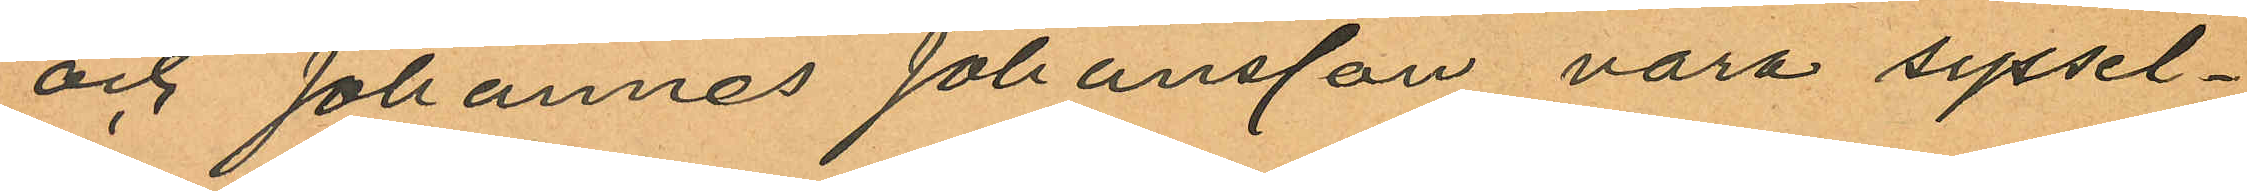och Johannes Johansson vara syssel¬
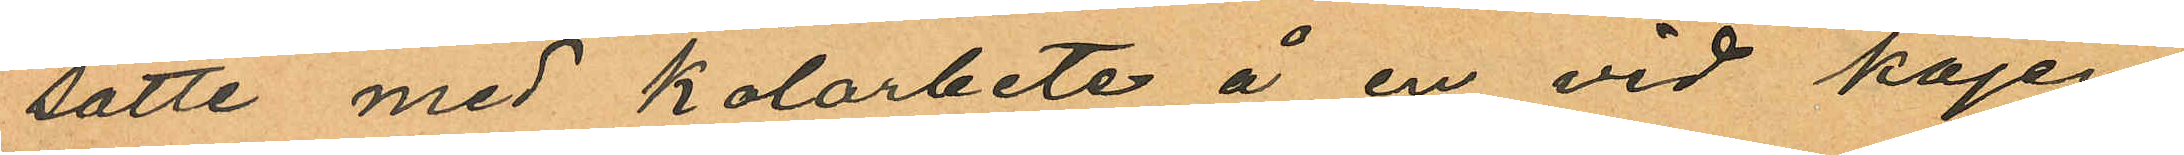satte med kolarbete å en vid kajen
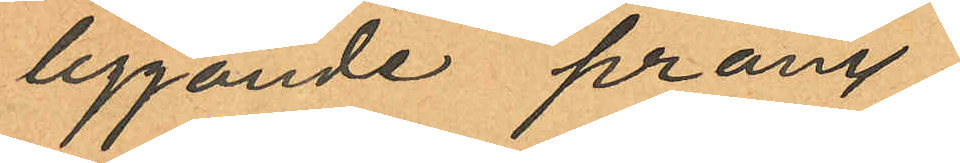liggande pråm
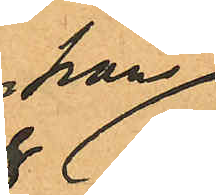han
